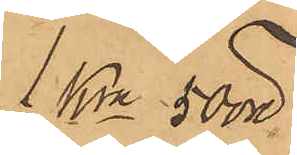1 kr 50 öre
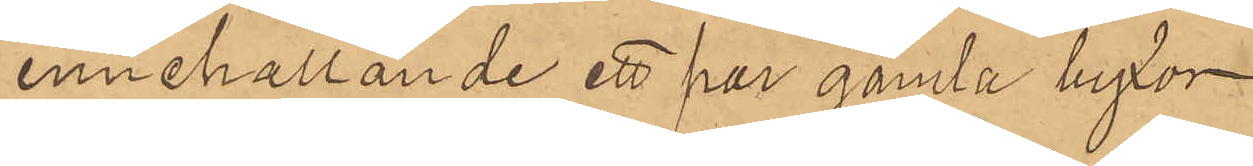innehållande ett par gamla byxor
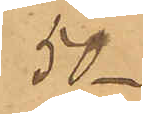50
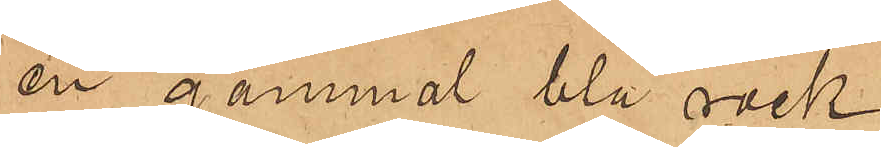en gammal blå rock
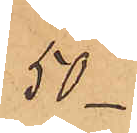50 
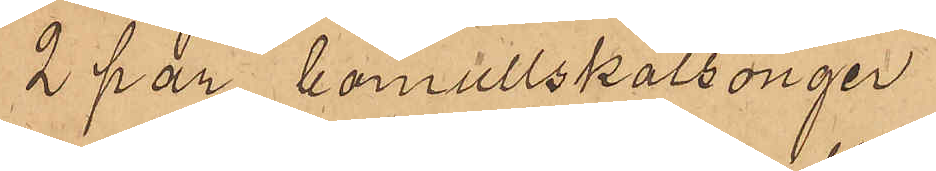2 par bomullskalsonger
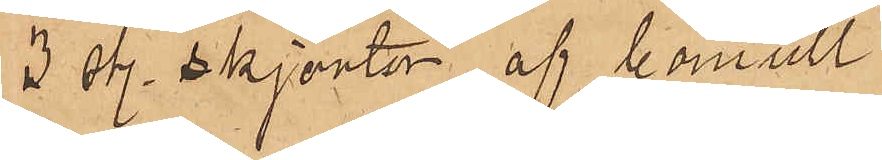3 sty. skjortor af bomull
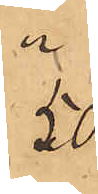50
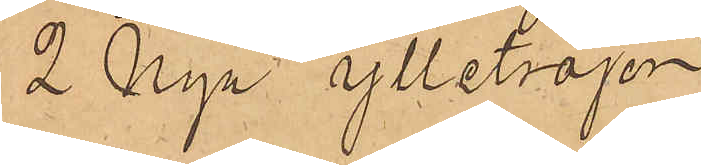2 Nya ylletröjor
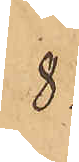8
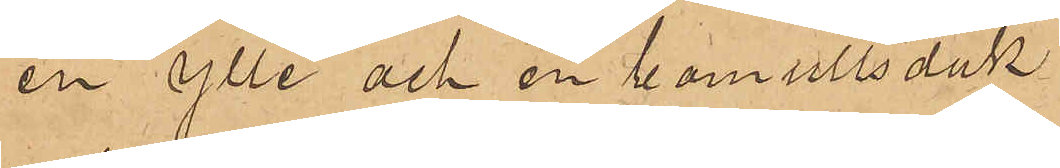en ylle och en bomullsduk
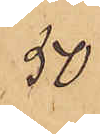50
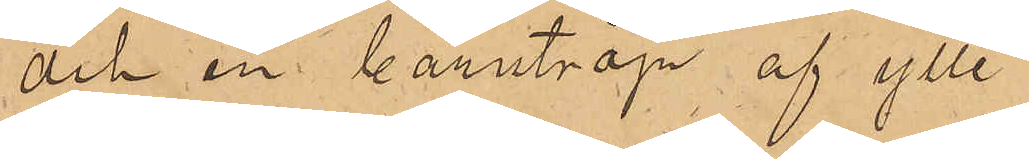och en barntröja af ylle
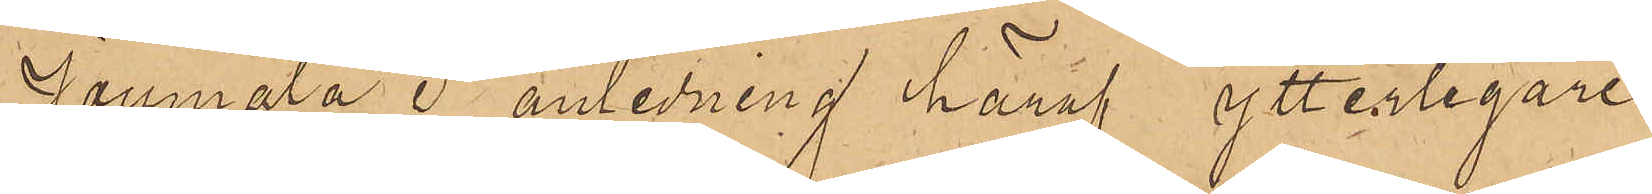Joumala i anledning häraf ytterligare
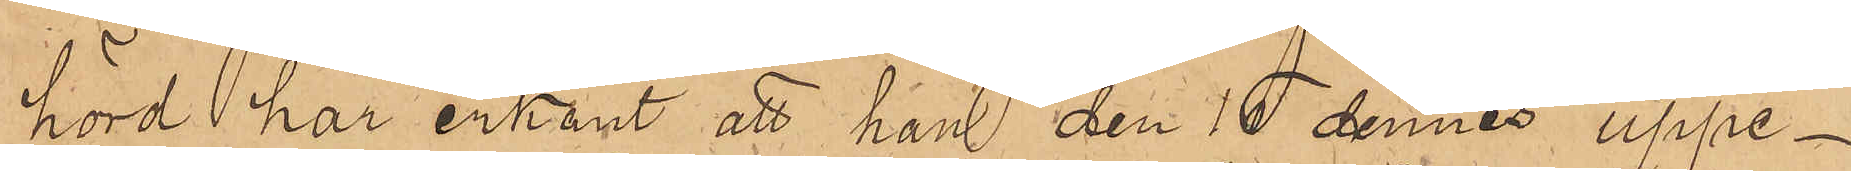hörd har erkänt att han den 15 dennes uppe¬
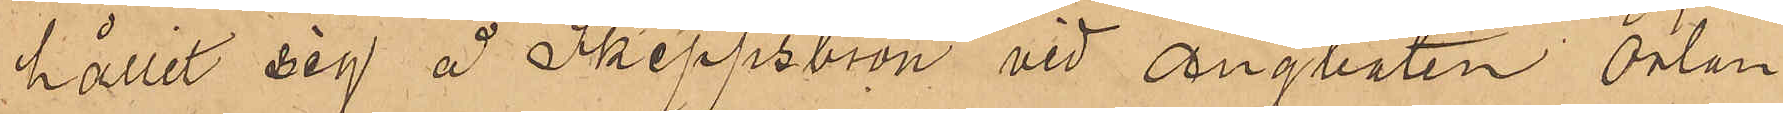hållit sig å Skeppsbron vid Ångbåten Orlan¬
